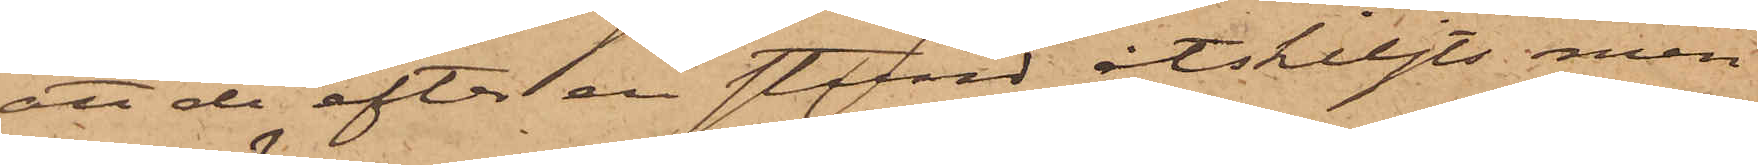att de efter en stund åtskiljts, men
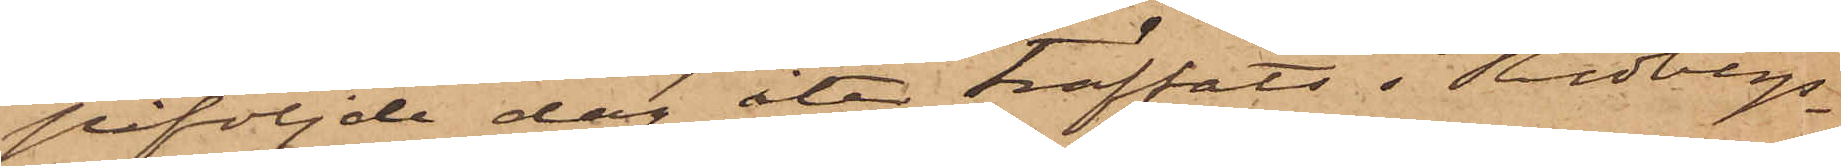påföljande dag åter träffats i Redbergs¬
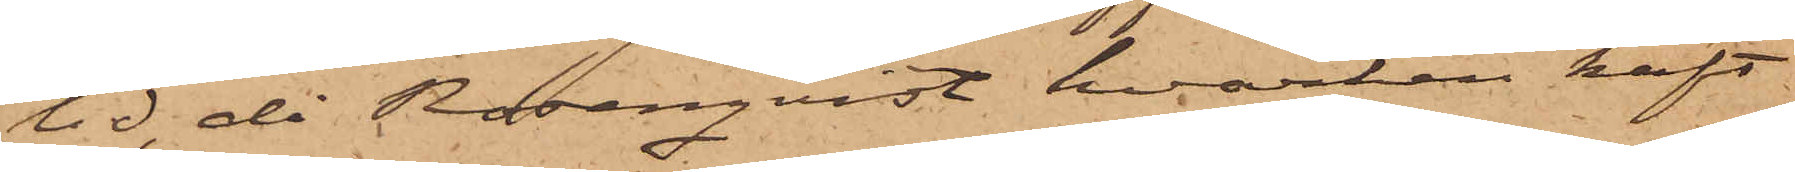lid, då Rosenqvist hvarken haft
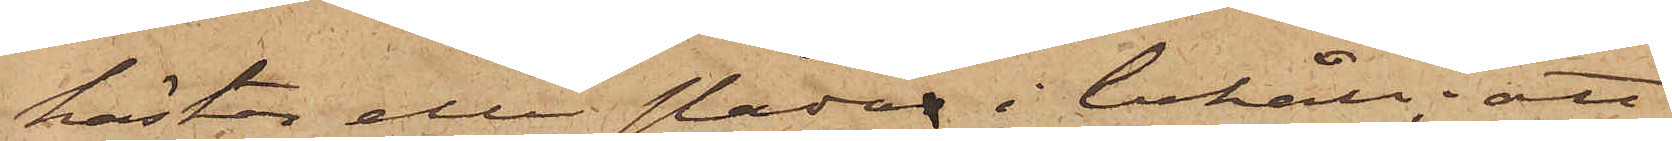hästar eller slädar i behåll; att
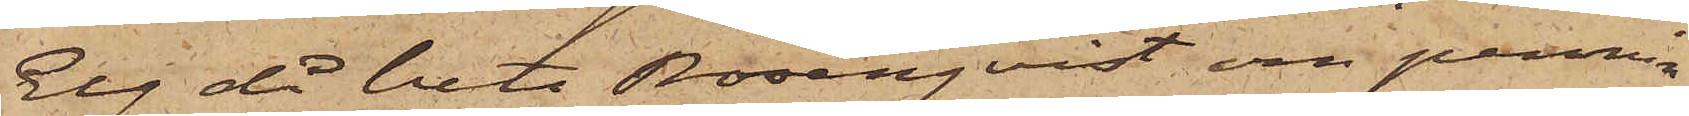Elg då bett Rosenqvist om pennin¬
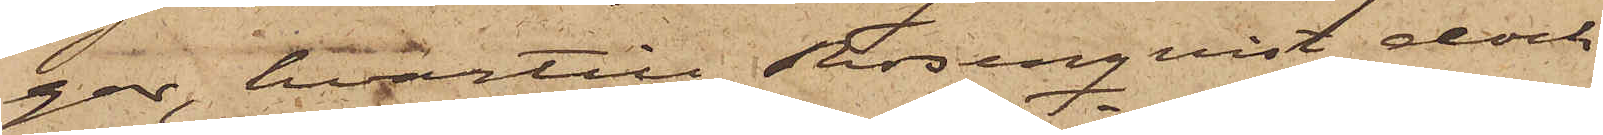gar, hvartill Rosenqvist dock
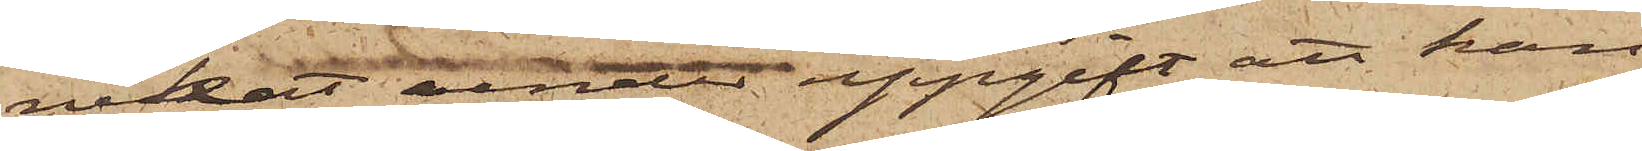nekat under uppgift att han
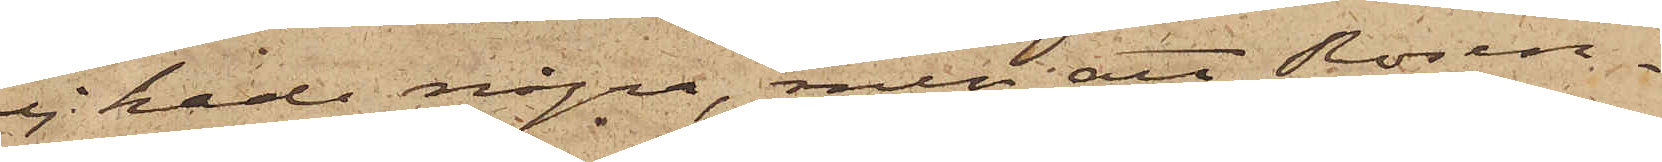ej hade några, men att Rosen¬
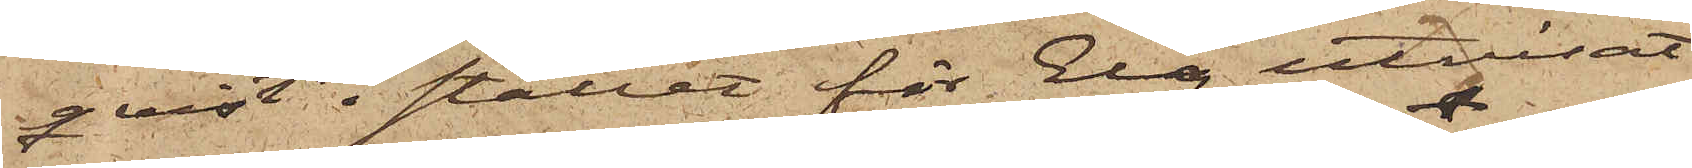qvist i stället för Elg utvisat
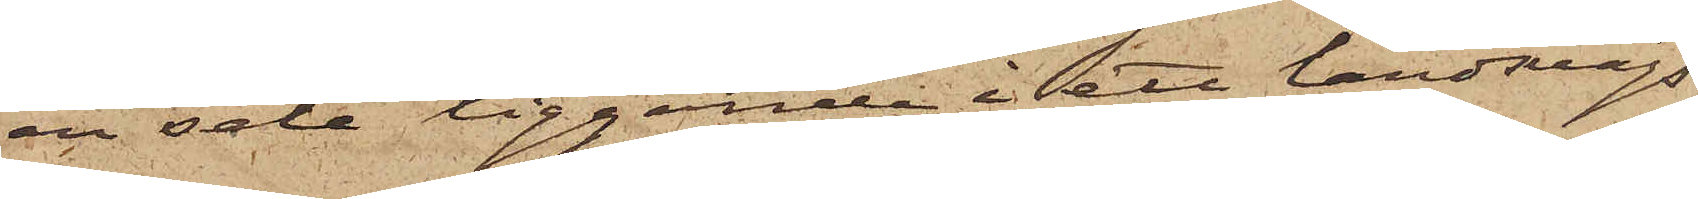en sele liggande i ett landvägs¬
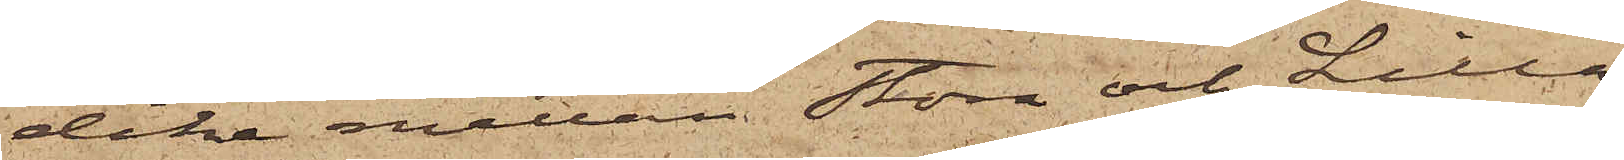dike mellan Stora och Lilla
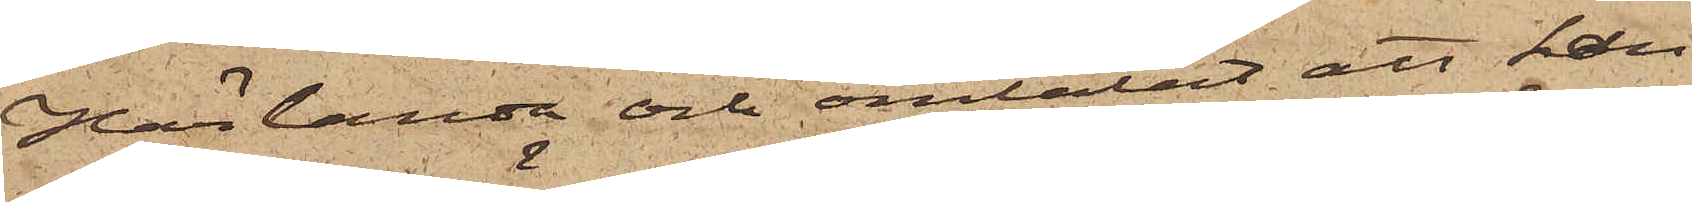Härlanda och omtalat att han
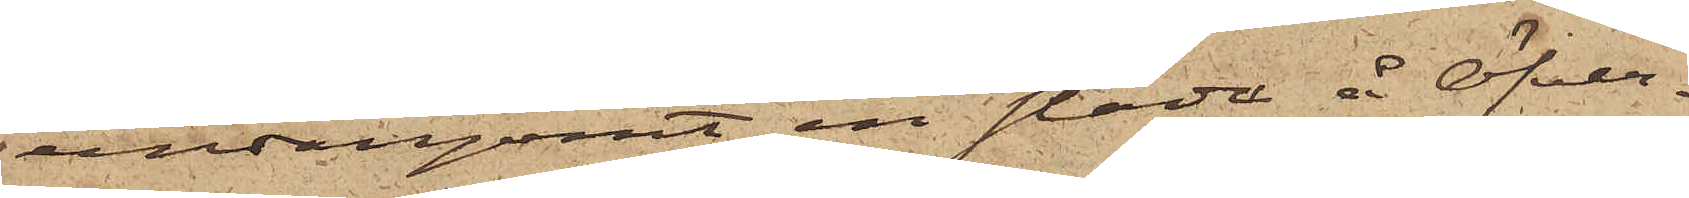undangömt en släde å Öfver¬
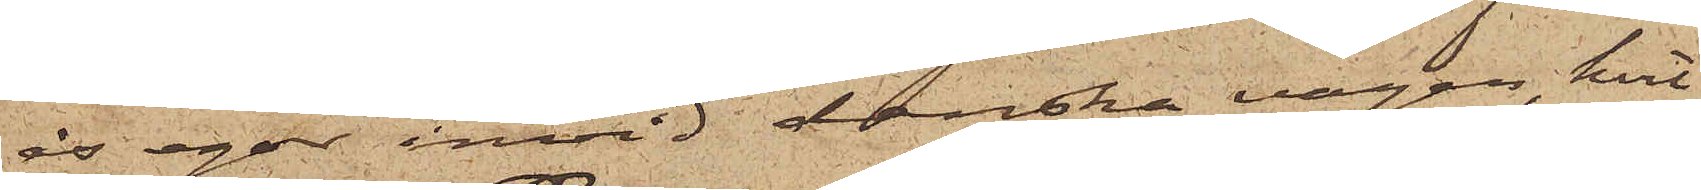ås egor invid danska vägen, hvil¬
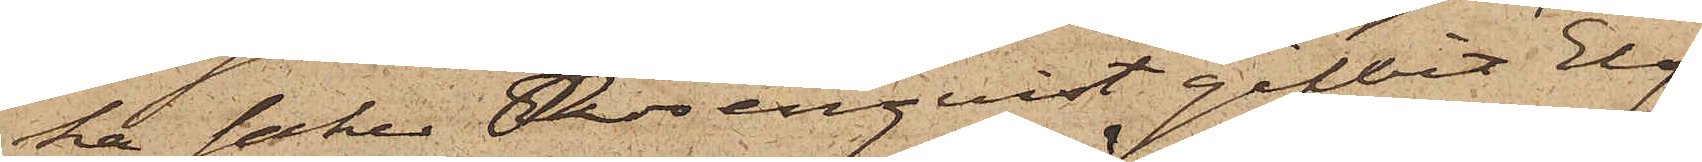ka saker Rosenqvist gifvit Elg
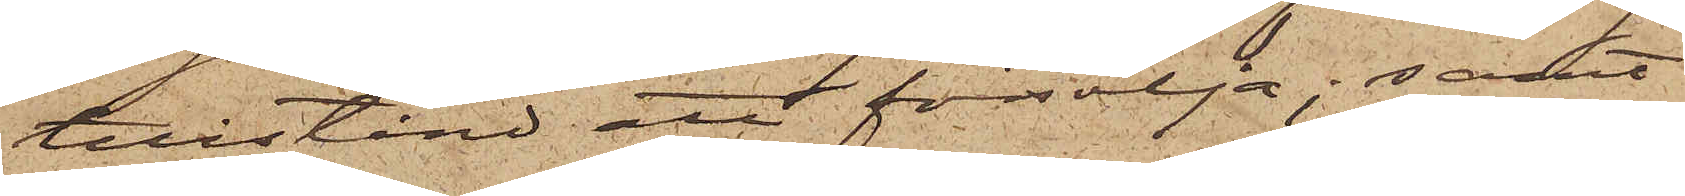tillstånd att försälja; samt
